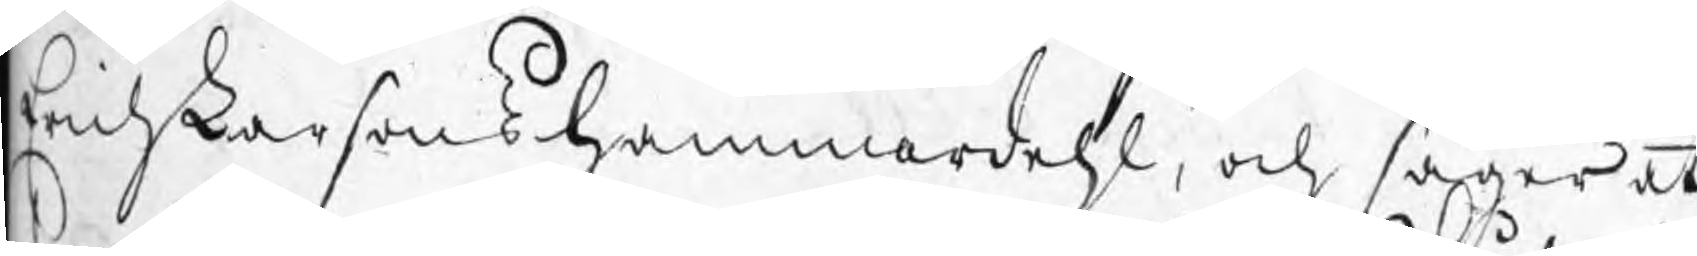Erich Larsons hammardehl, och säger at
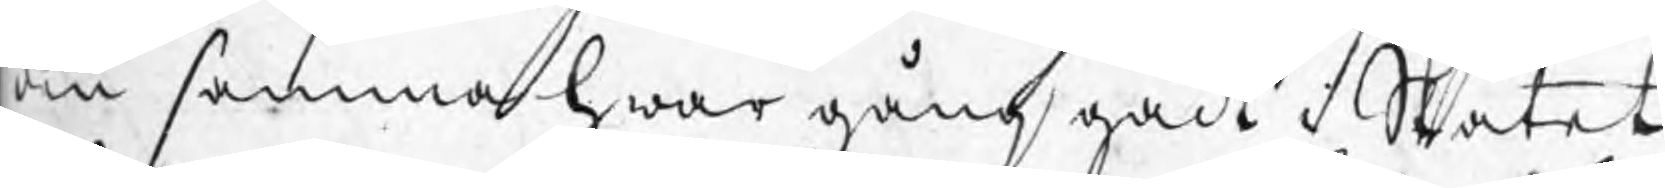den samma hwar gång gådt i Skåtet
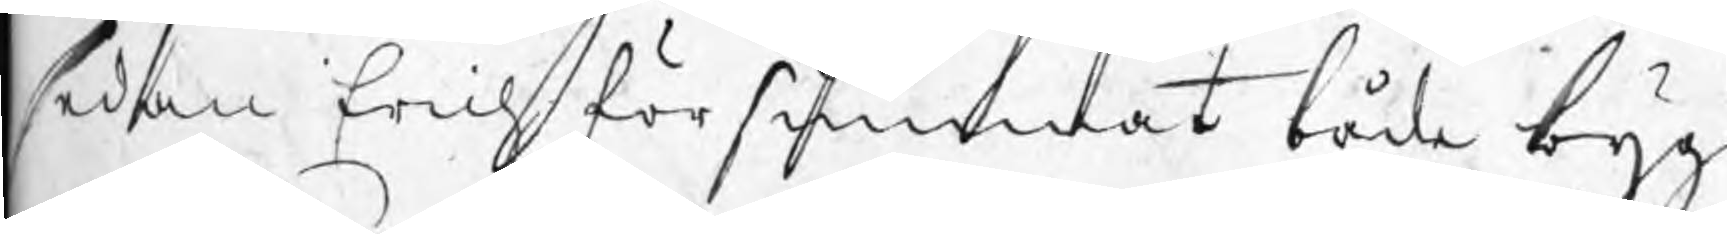sedan Erich försummat både byg¬
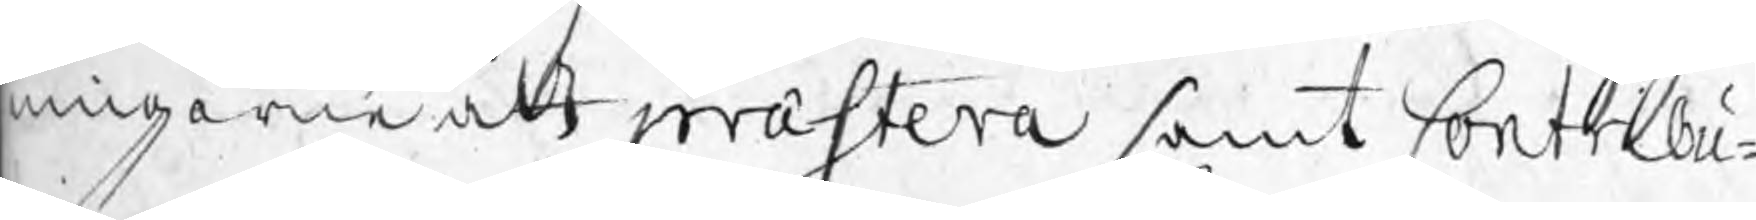ningarne att præstera samt Contribu¬
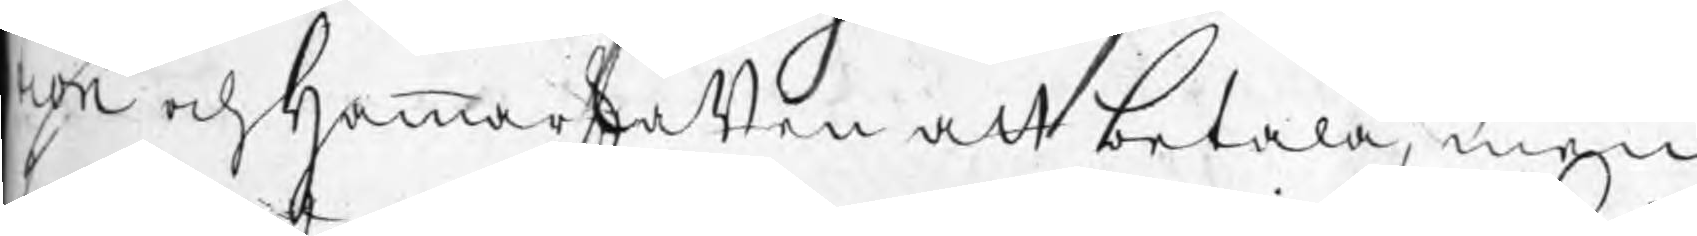tion och Hammarskatten att betala, men
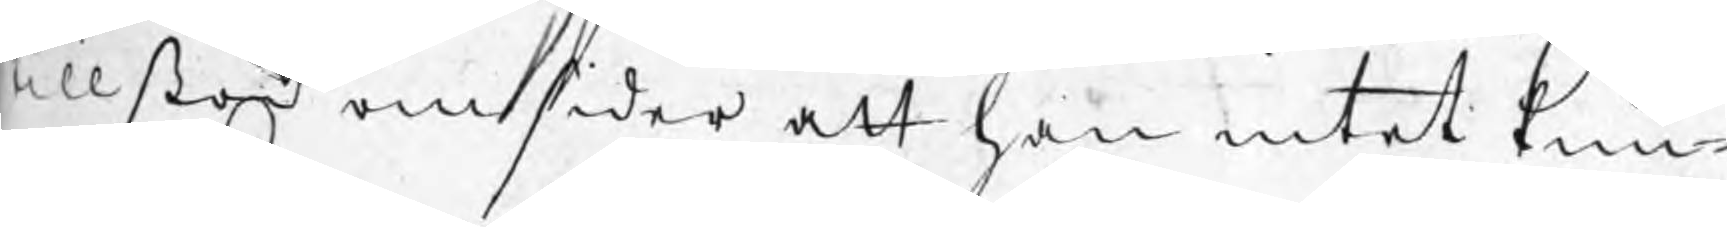tillstod omsider att han intet kun¬
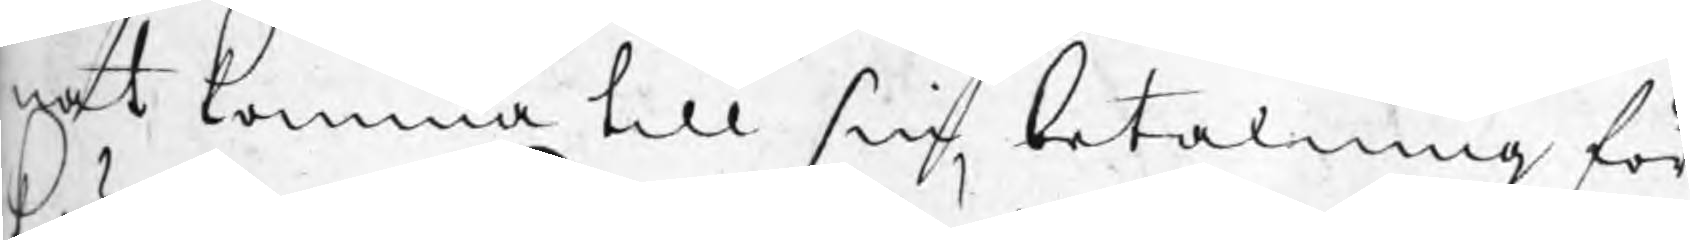nat komma till sin betalning för
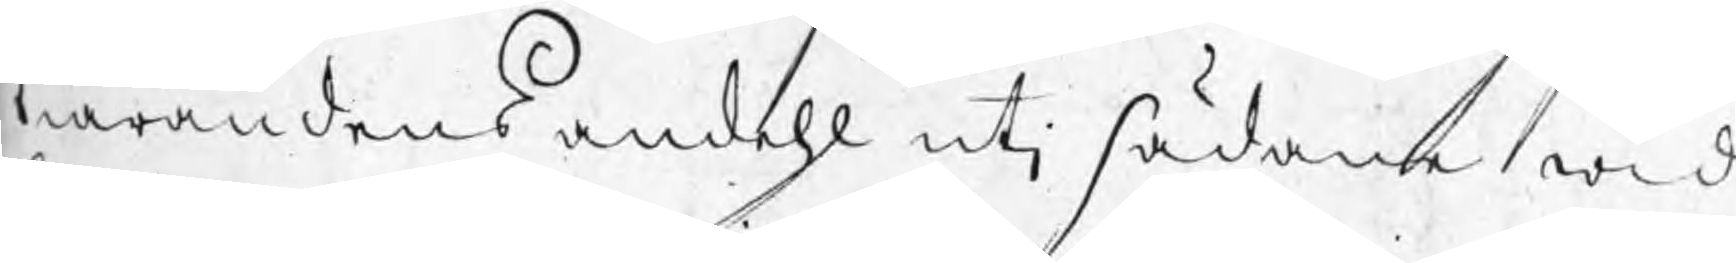kiärandens andehl utj sådane wid
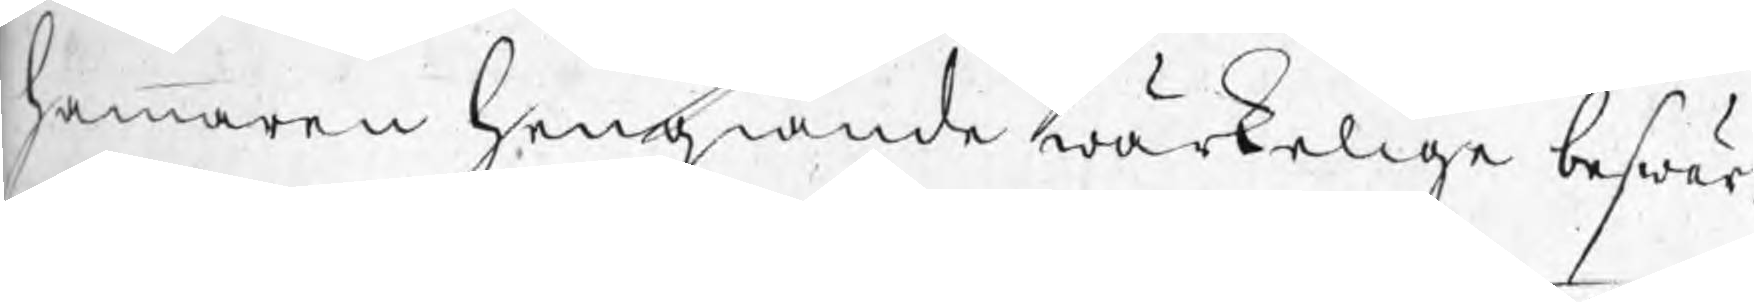hammaren hengiande wärkelige beswär,
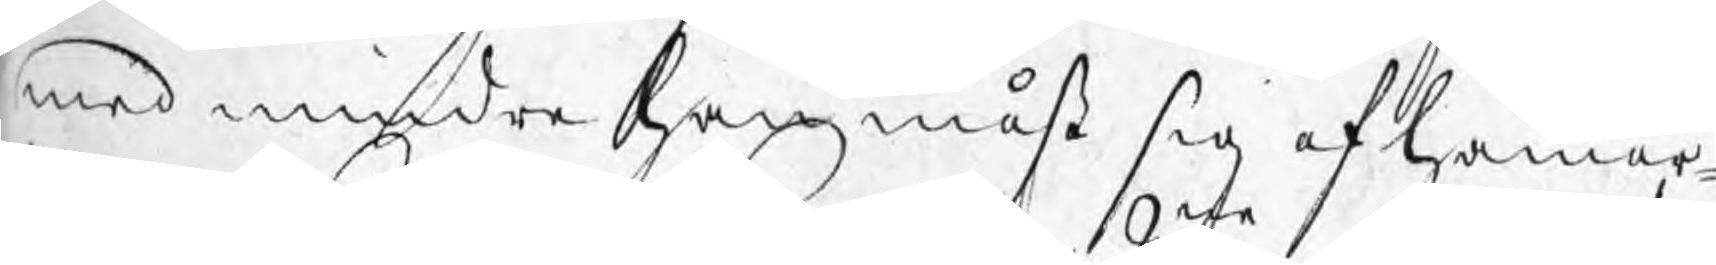med mindre han måst sig af hammar¬
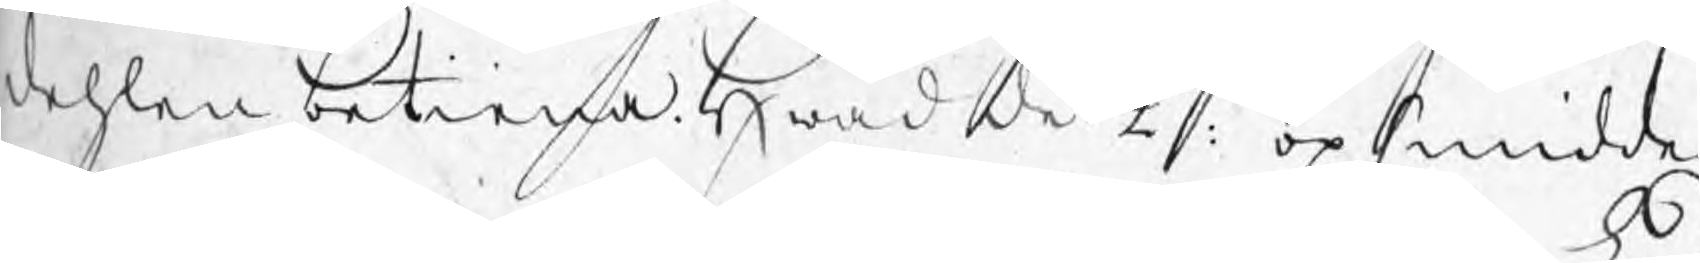dehlen betiena. Hwad de 2ne opsmidde
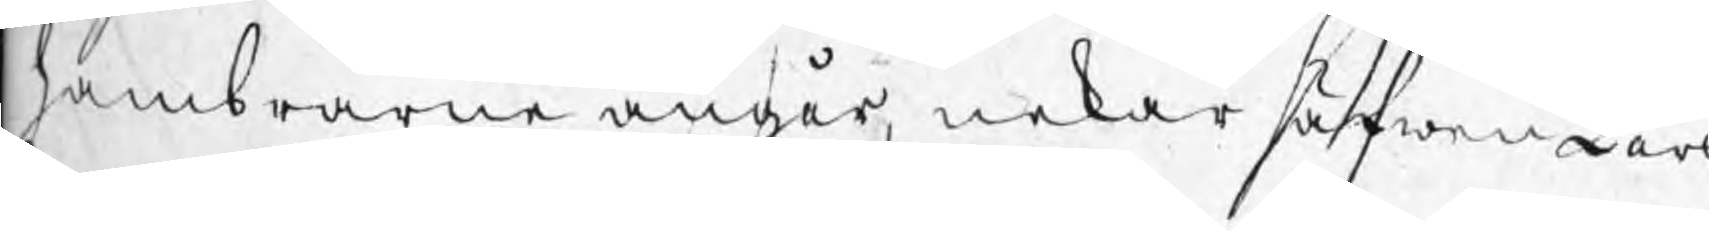hambrarne angår, nekar äfwen Lars
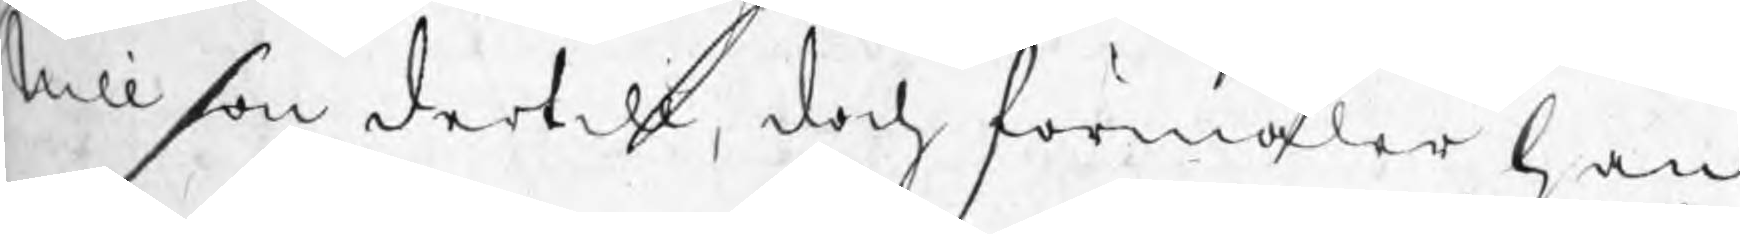Nillson dertill, doch förmäler han
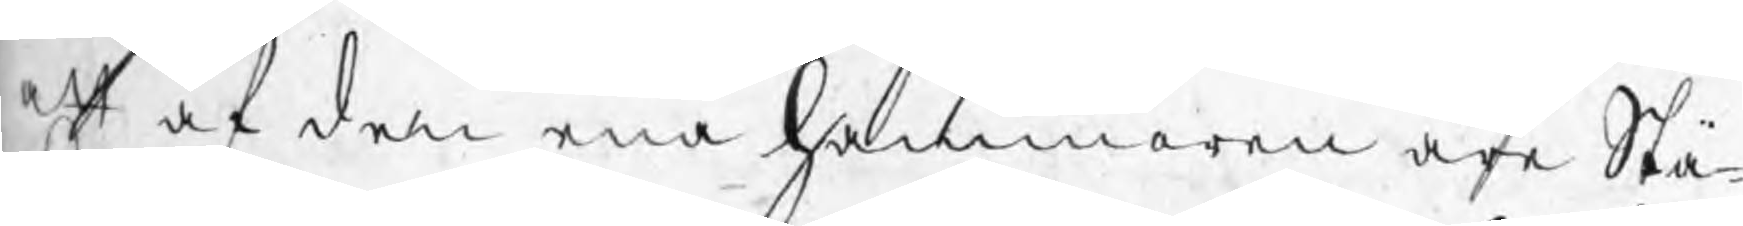att af den ena hammaren äre Stä¬
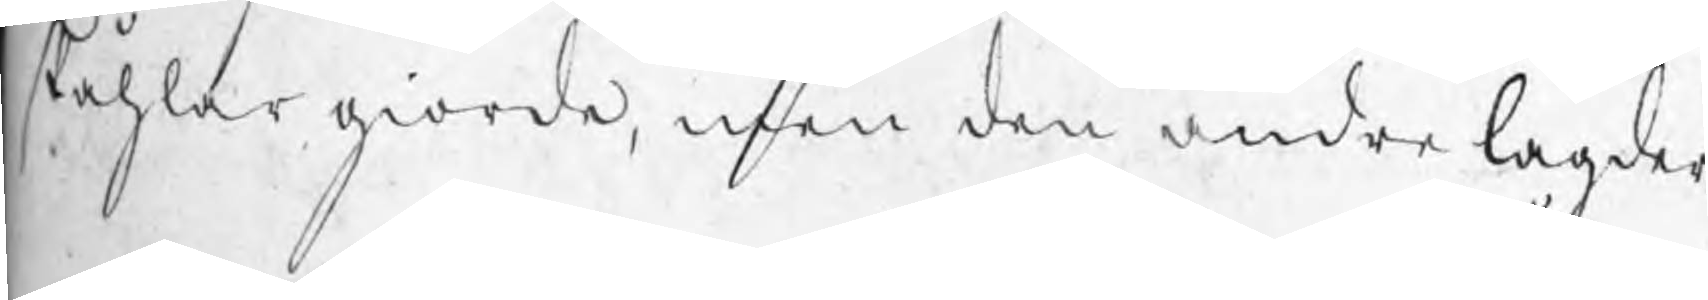ståhlar giorde, men den andre lagder
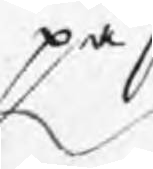på
